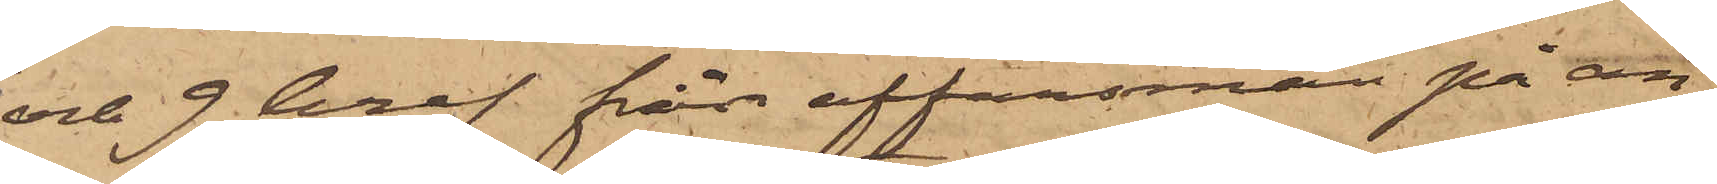och 9 bref från affärsmän på an¬
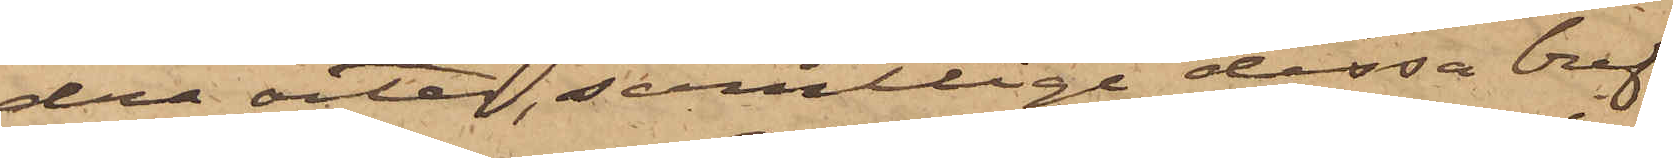dra orter, samtlige dessa bref
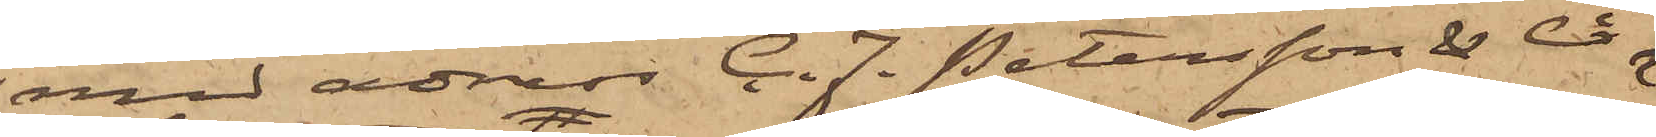med adress C. F. Petersson & Ci
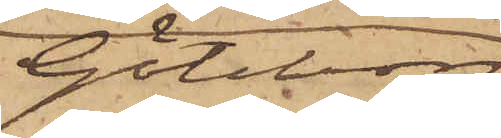Göteborg
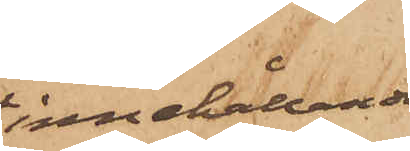innehållande
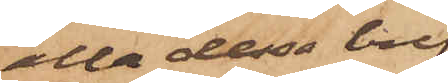alla dessa bref
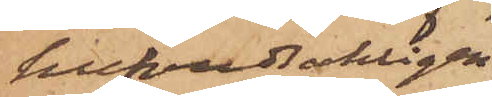hufvudsakligen
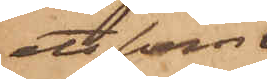att som
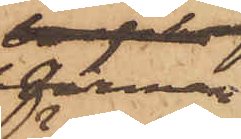Firman
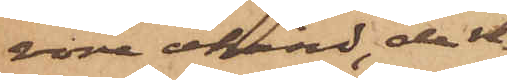vore okänd, de re¬
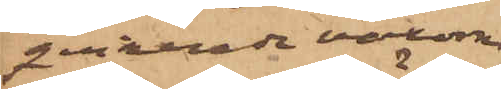qvirerade varorna
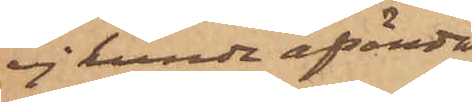ej kunde afsändas,
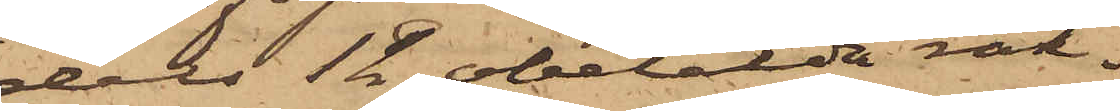dels 12 obetalda räk¬
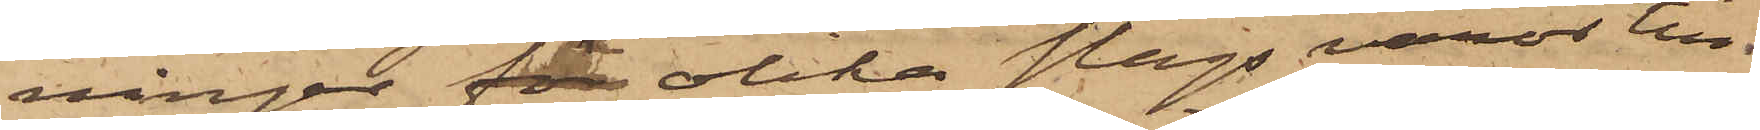ningar för olika slags varor till
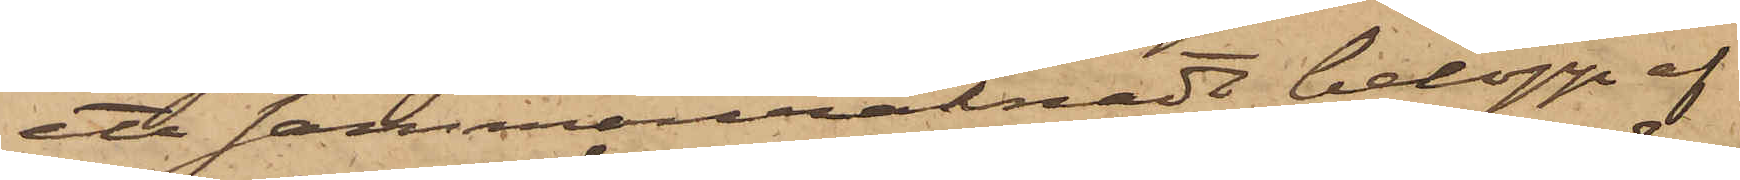ett sammanräknadt belopp af
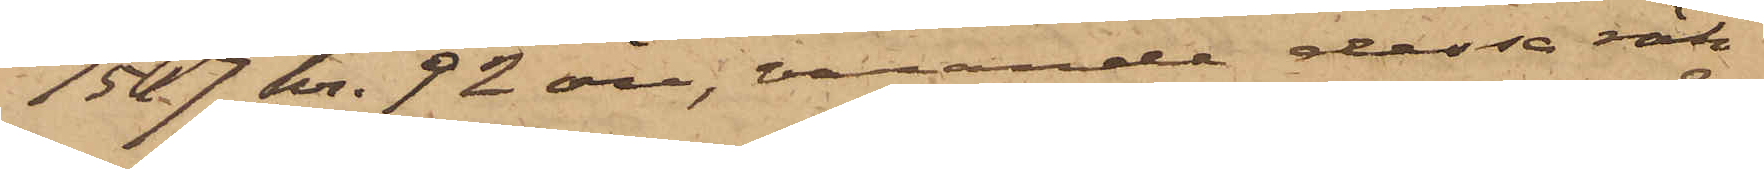1517 kr. 92 öre, varande dessa räk¬
